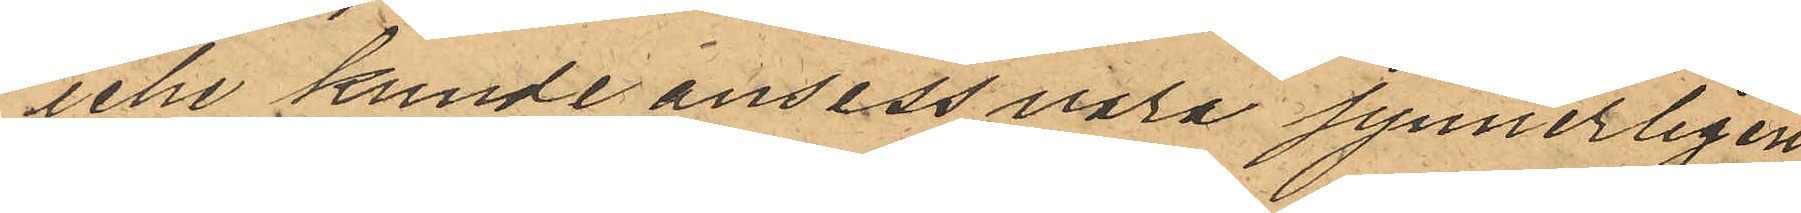icke kunde anses vara synnerligen
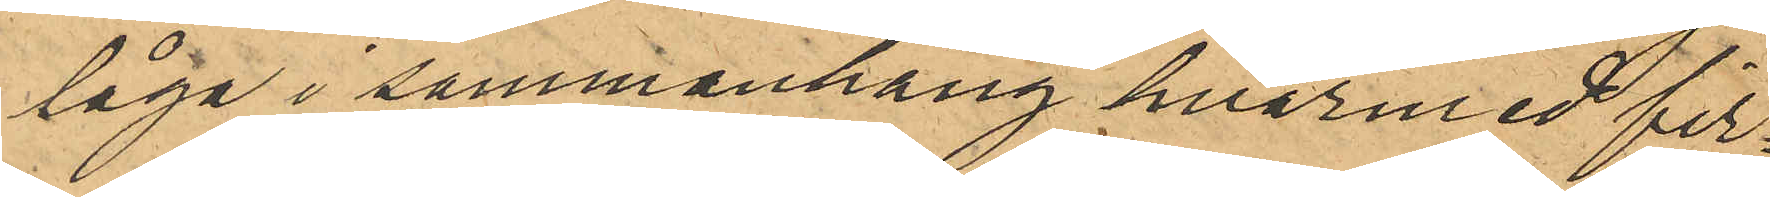låga i sammanhang hvarmed fir¬
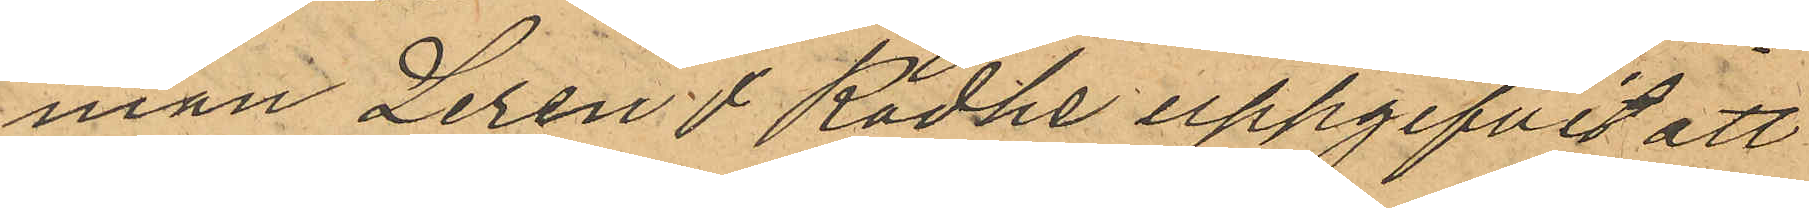man Leren & Rodhe uppgifvit att
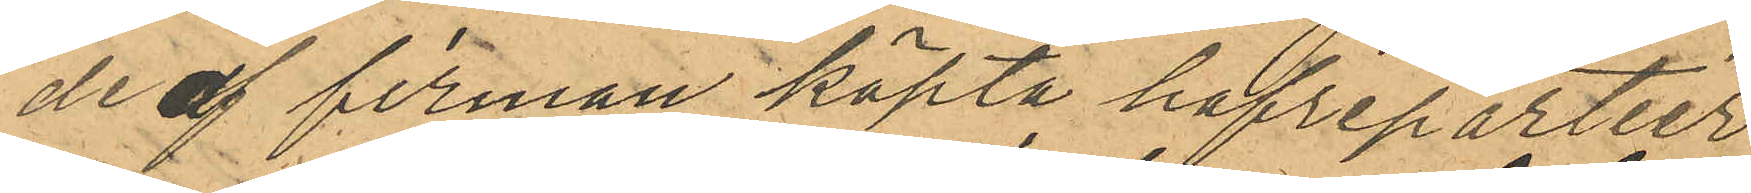de af firman köpta hafrepartier¬
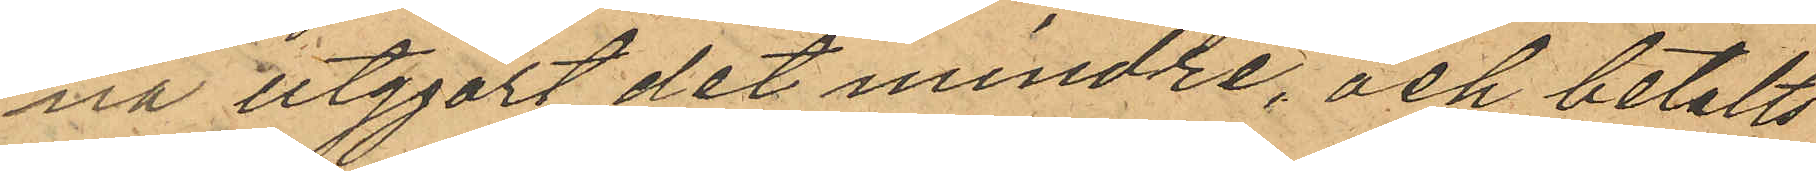na utgjort det mindre, och betalts
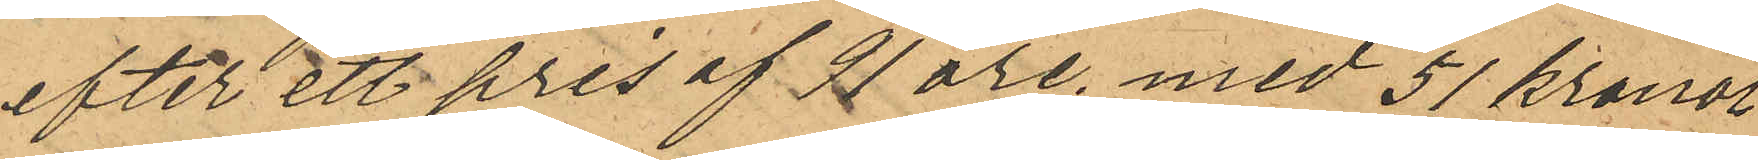efter ett pris af 91 öre, med 51 kronor
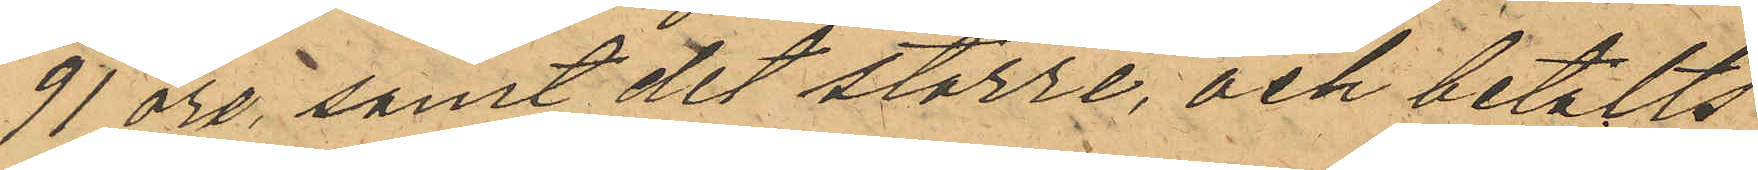91 öre, samt det större; och betalts
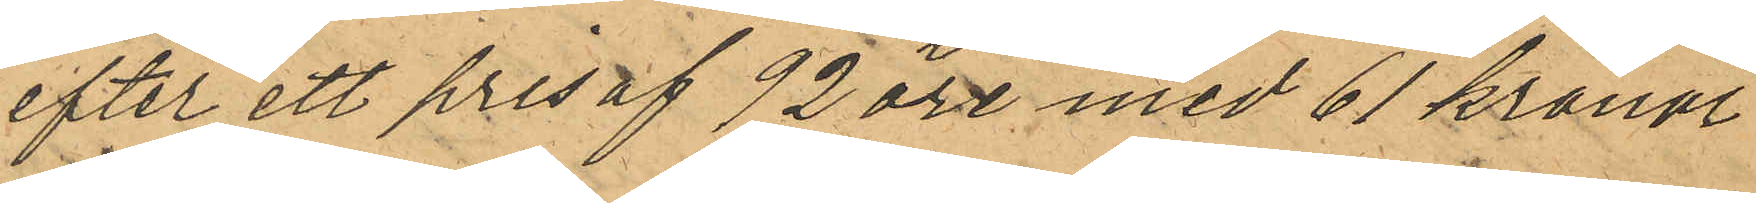efter ett pris af 92 öre med 61 kronor
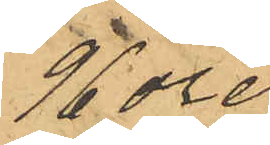96 öre.
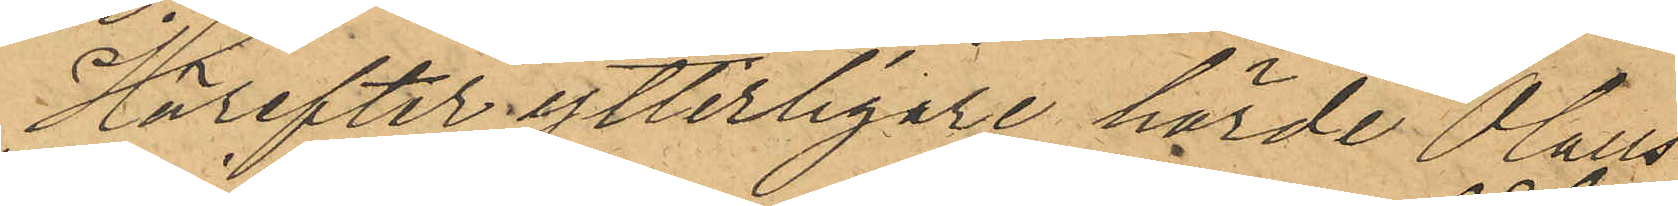Härefter ytterligare hörde Olaus
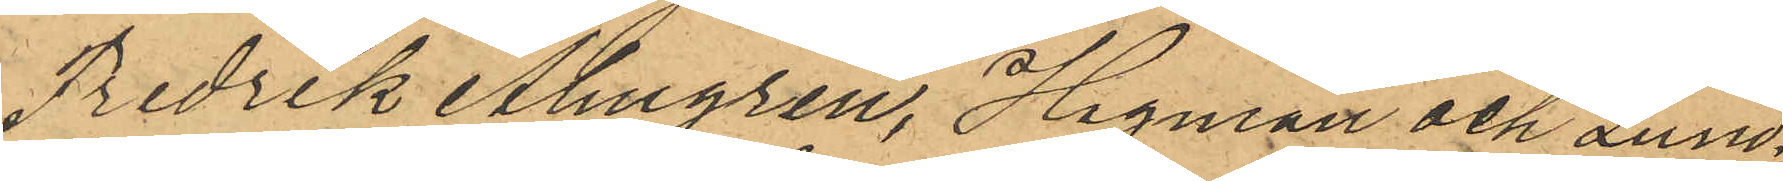Fredrik Almgren, Hagman och Lund¬
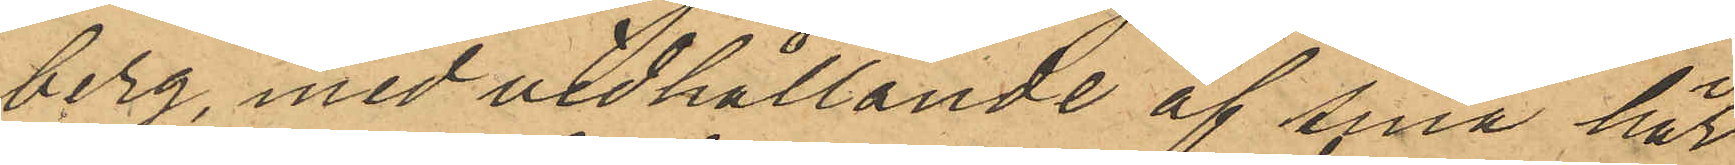berg, med vidhållande af sina här
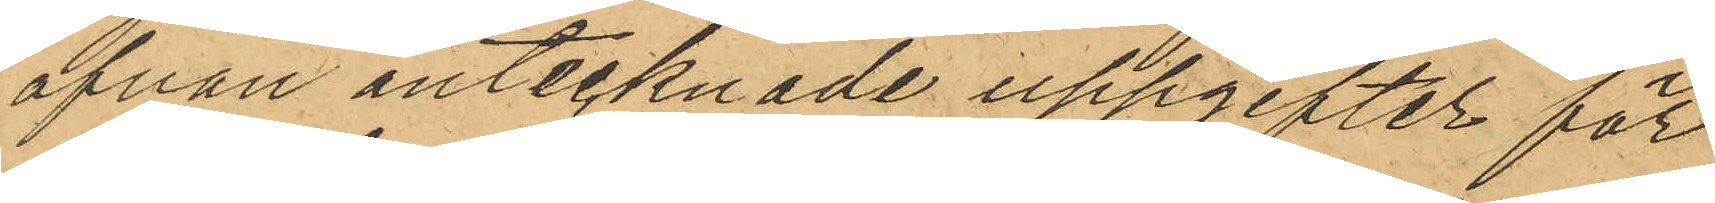ofvan antecknade uppgifter för¬
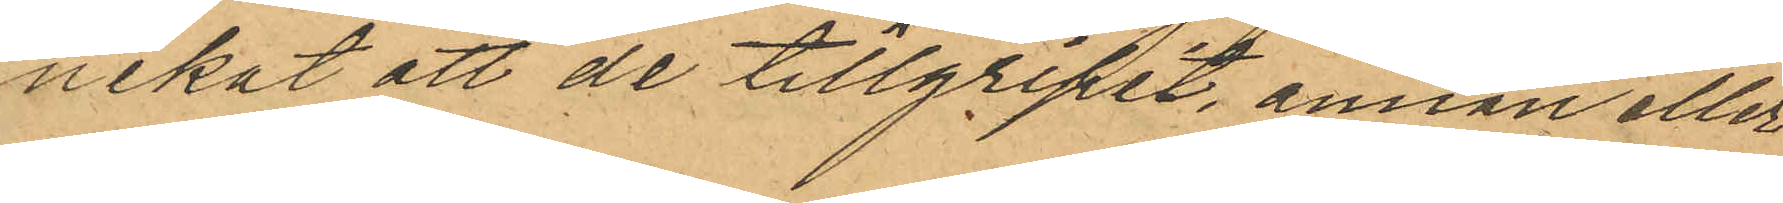nekat att de tillgripit, annan eller
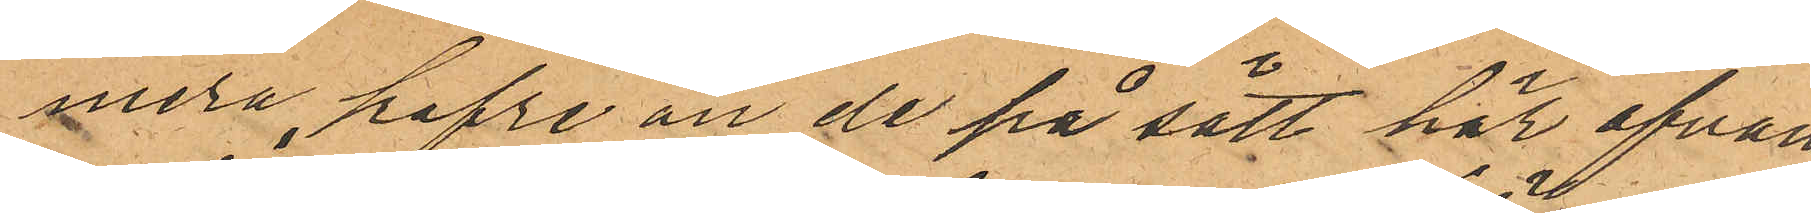mera hafre än de på sätt här ofvan
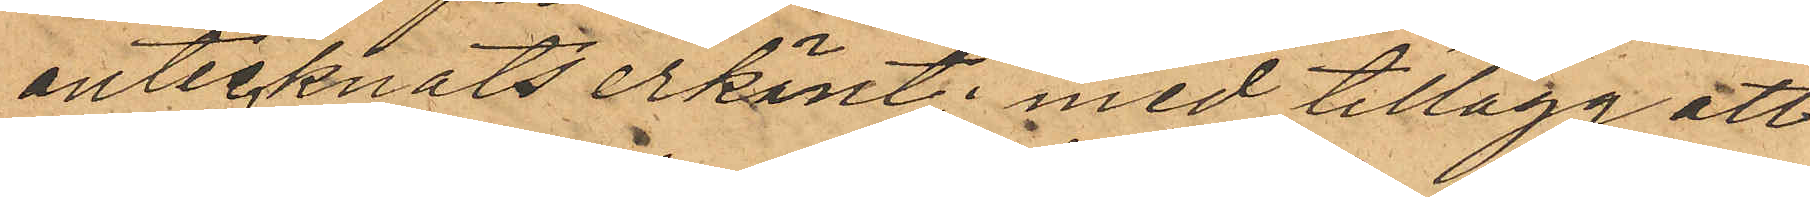antecknats erkänt; med tillägg att
